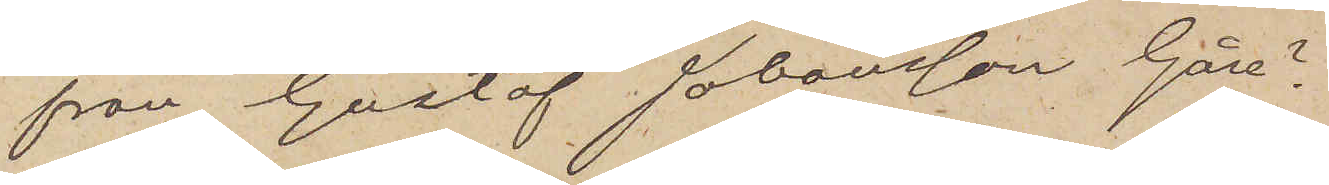 från Gustaf Johansson Gåre ?
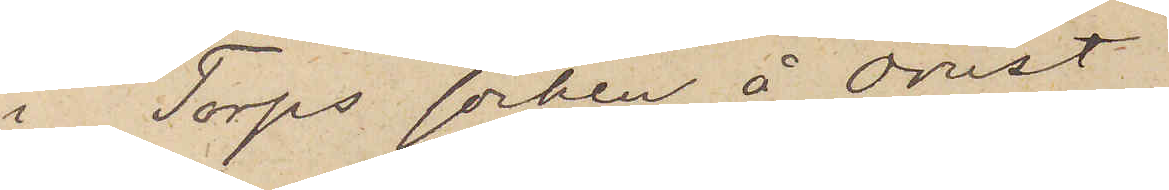i Torps socken å Orust
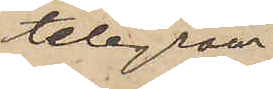telegram
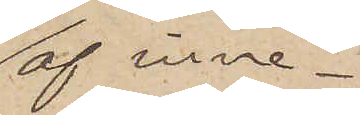af inne¬
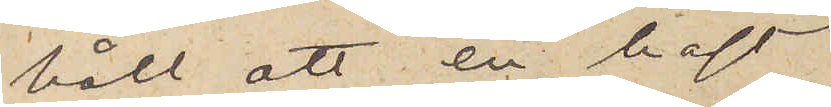håll att en häst
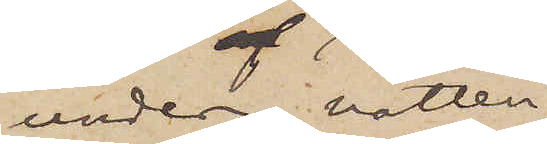under natten
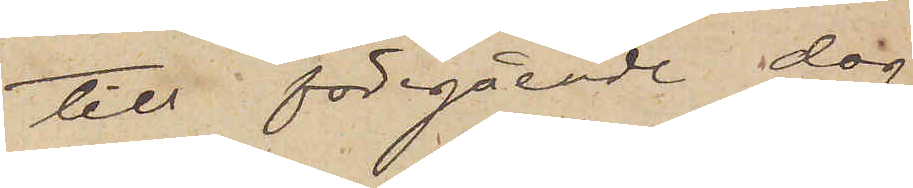till föregående dag
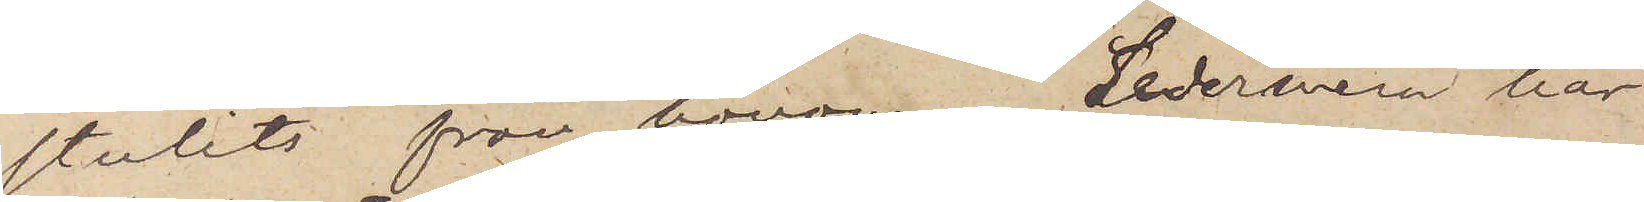stulits från honom. Sedermera har
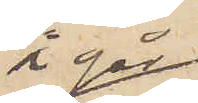i går
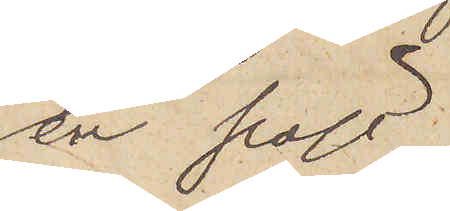en häst,
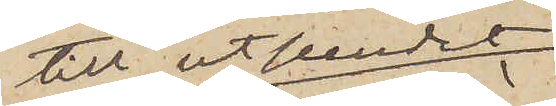till utseendet
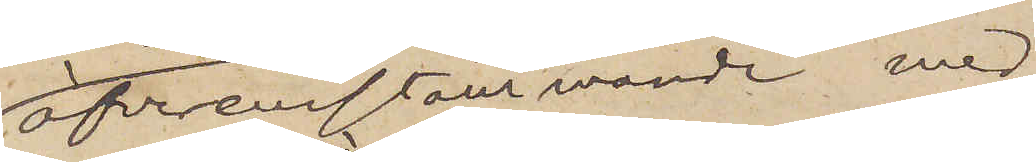öfverensstämmande med
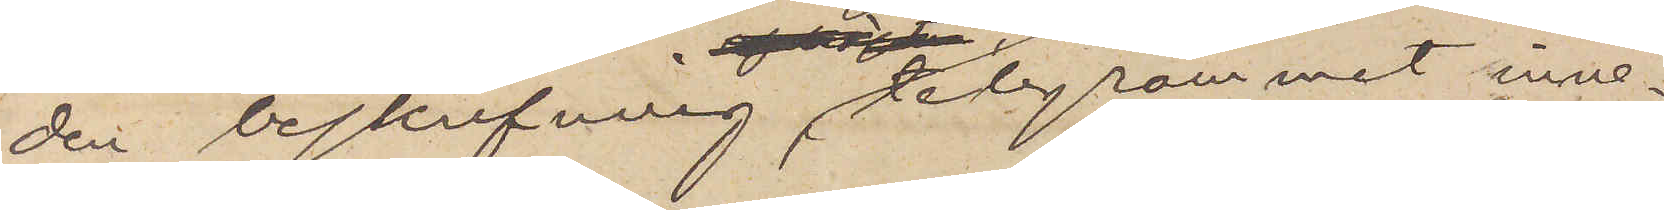den beskrifning telegrammet inne¬
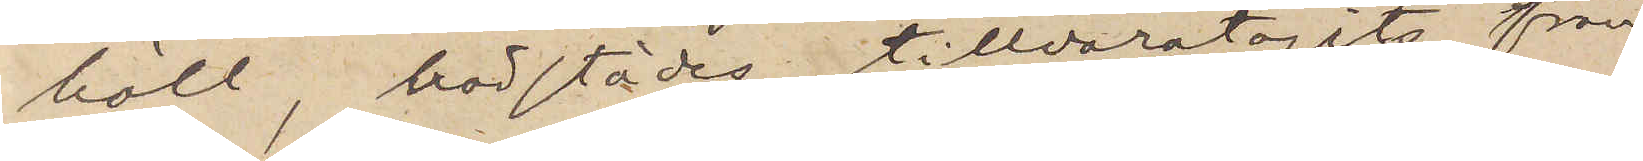höll, härstädes tillvaratagits från
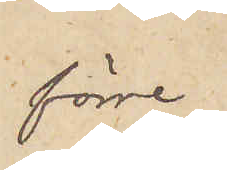förre
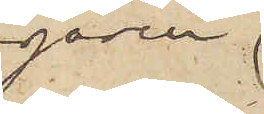egaren
